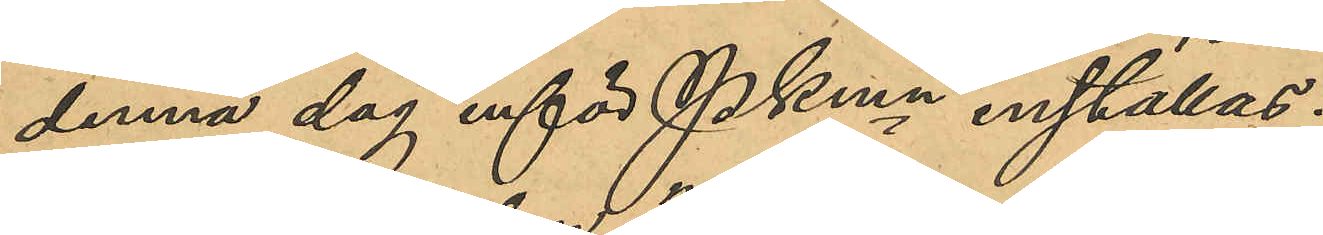denna dag inför Pkmn inställas.
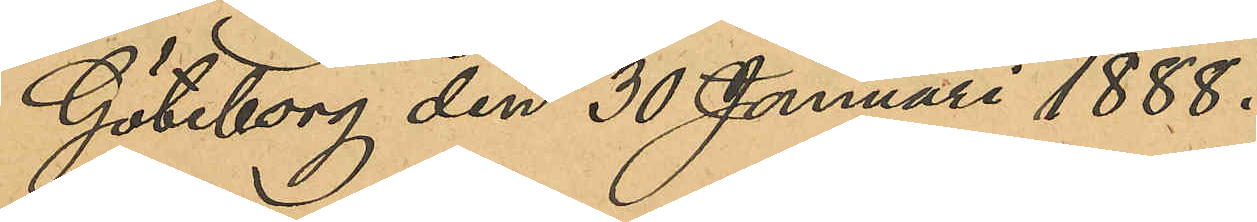Göteborg den 30 januari 1888.
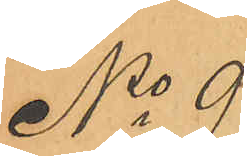No 9
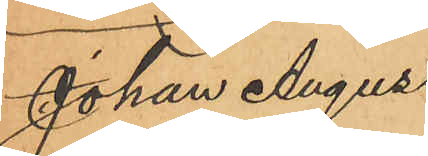Johan August
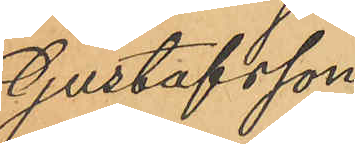Gustafsson
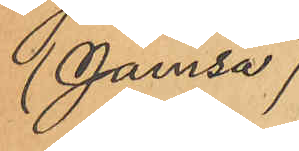(Jamsa)
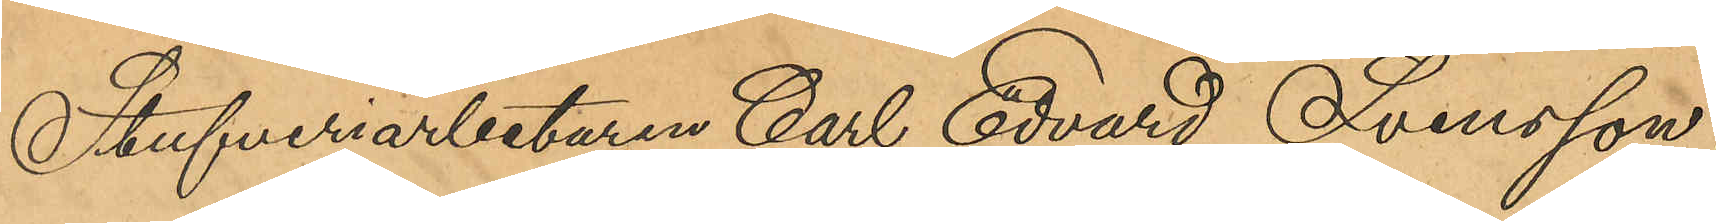Stufveriarbetaren Carl Edvard Svensson
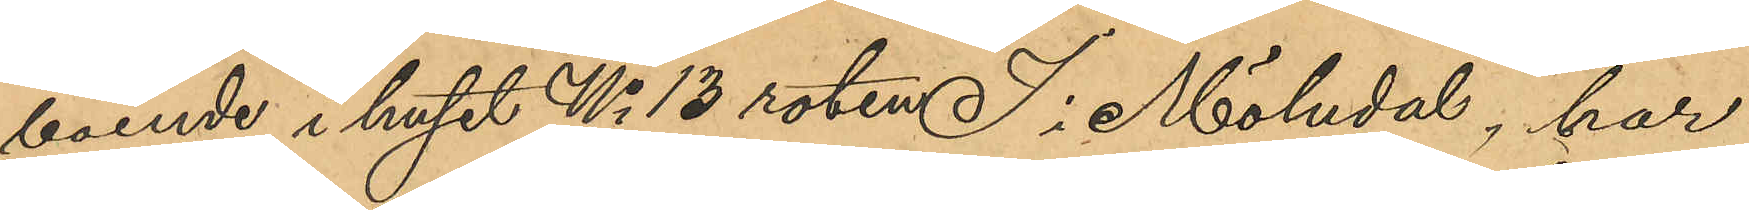boende i huset No 13 roten 7 i Mölndal, har
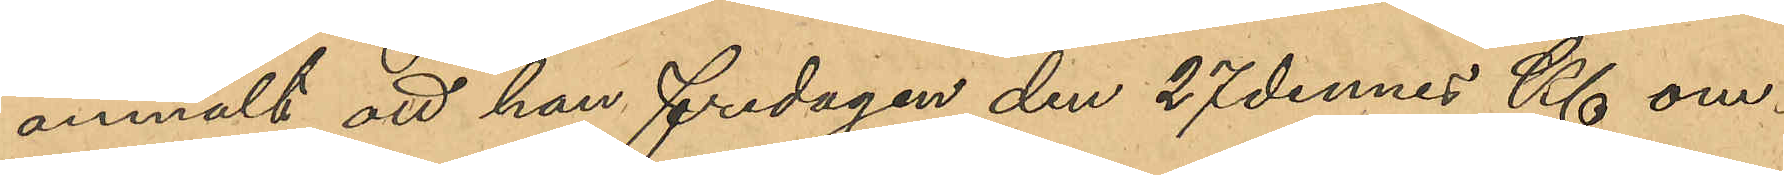anmält att han fredagen den 27 dennes Kl om¬
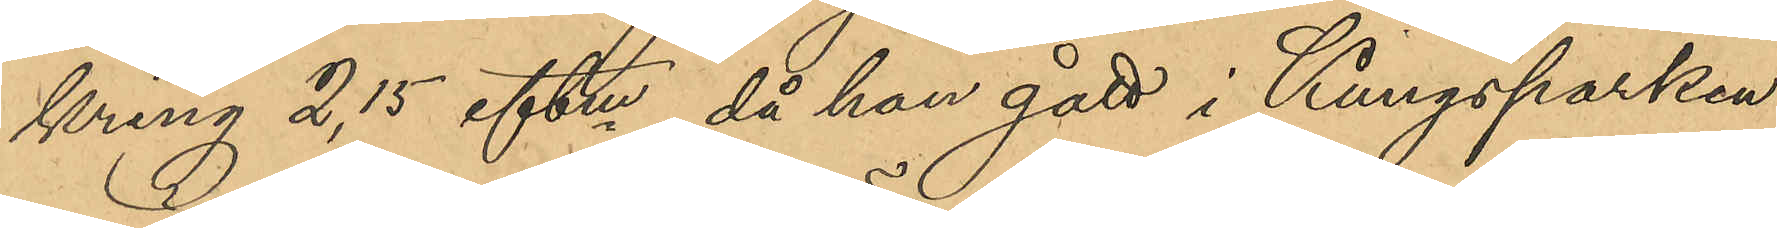kring 2,15 eftm, då han gått i Kungsparken
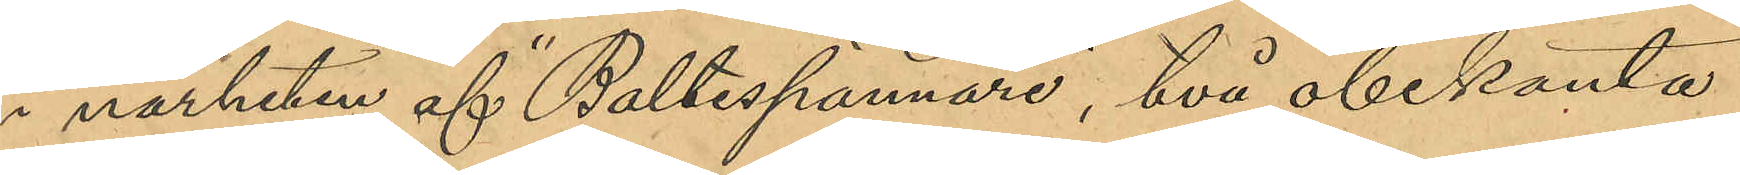i närheten af "Bältesspännare", två obekanta
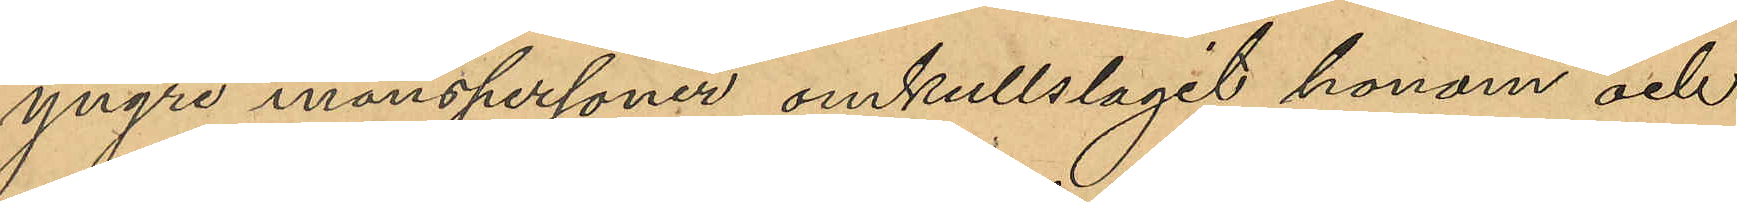yngre manspersoner omkullslagit honom och
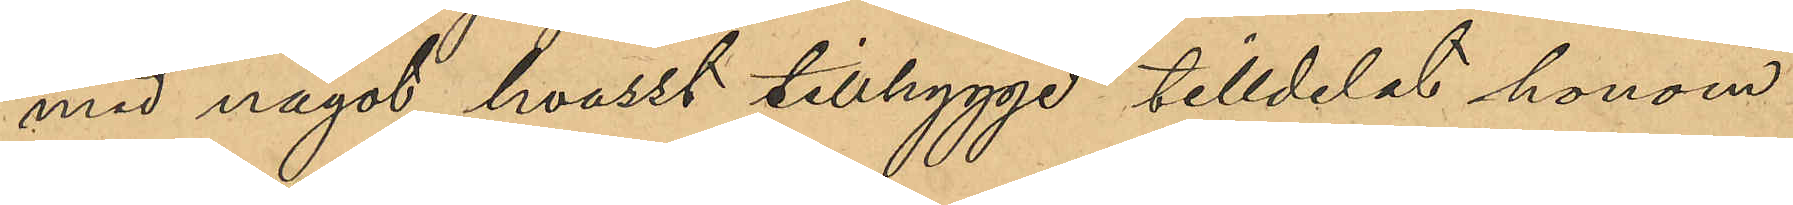med något hvasst tillhygge tilldelat honom
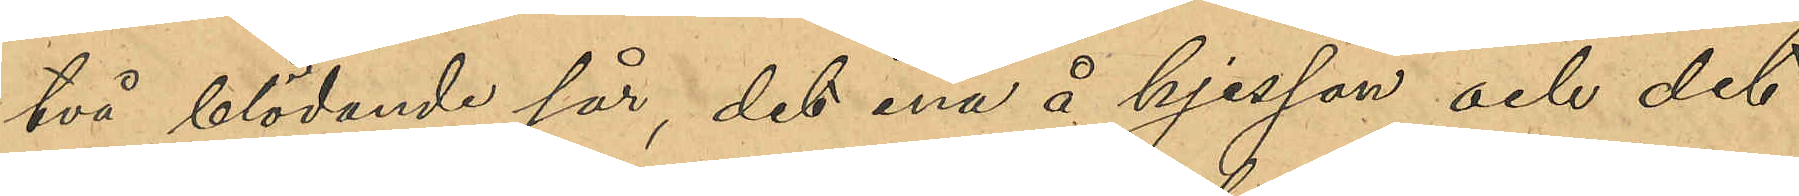två blödande sår, det ena å hjessan och det
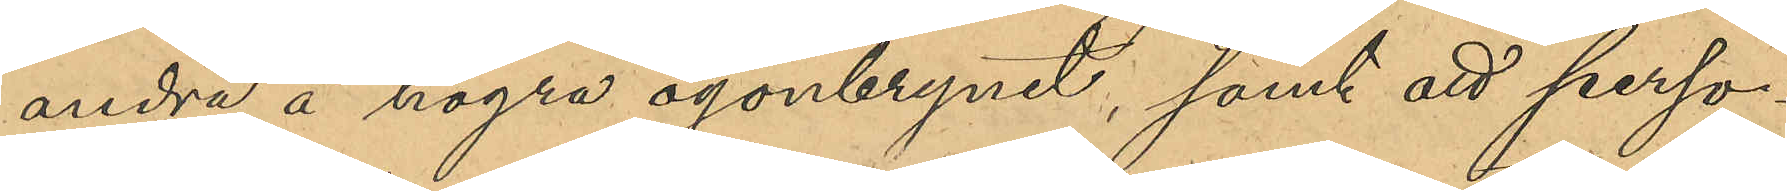andra å högra ögonbrynet, samt att perso¬
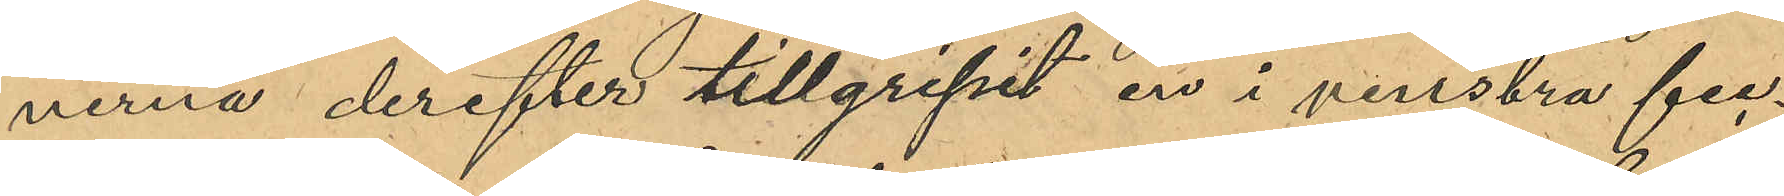nerna derefter tillgripit en i venstra fic¬
